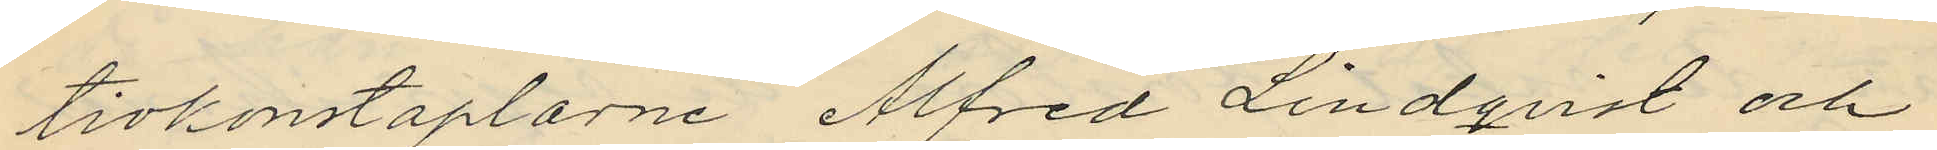tivkonstaplarne Alfred Lindqvist och
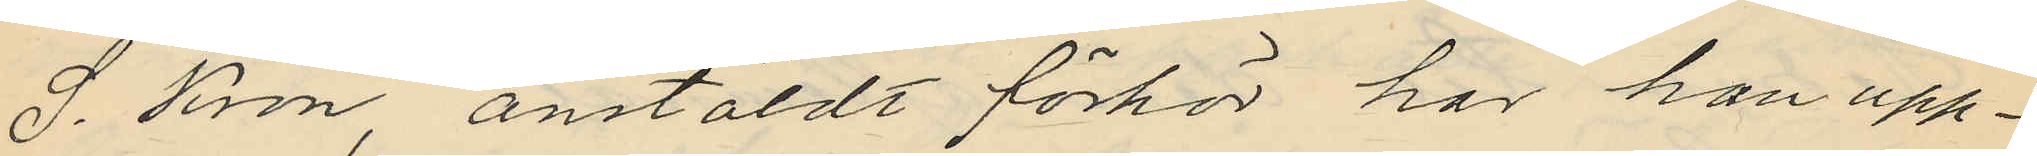J. Kron, anstäldt förhör har han upp¬
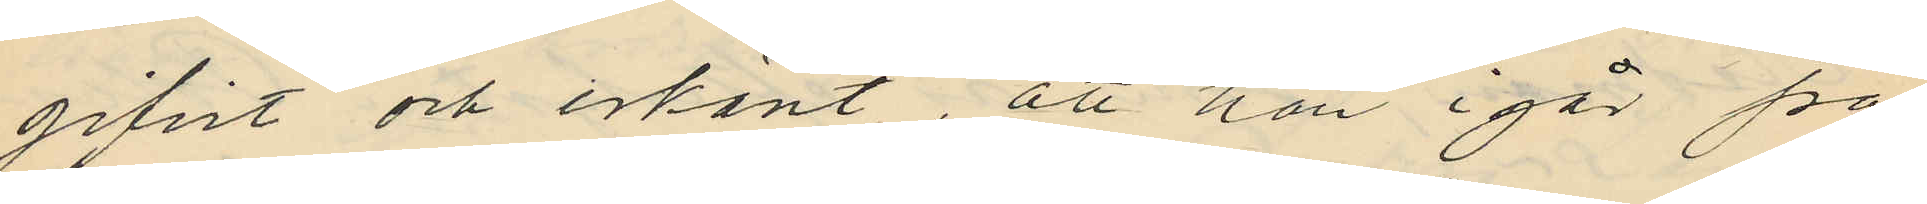gifvit och erkänt, att han i går på
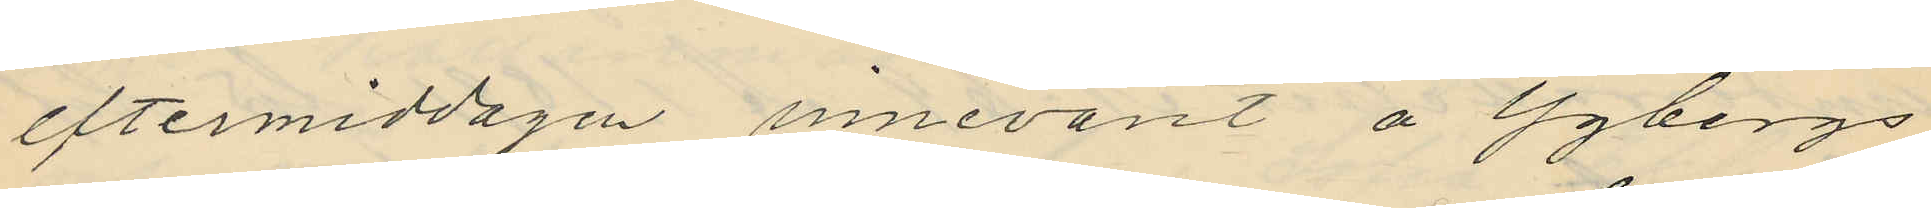eftermiddagen innevarit å Ygbergs
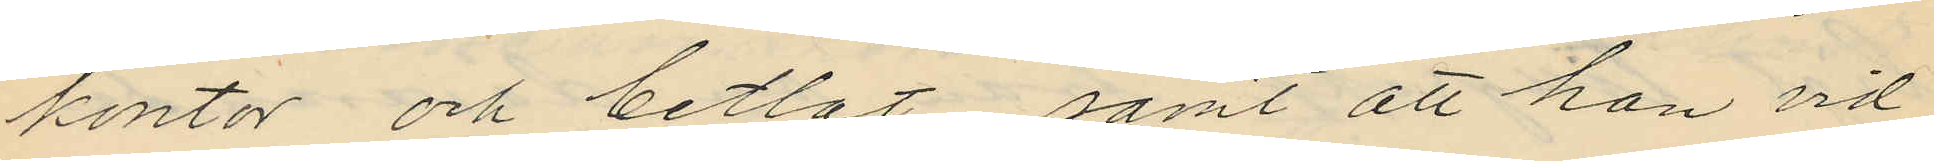kontor och betlat, samt att han vid
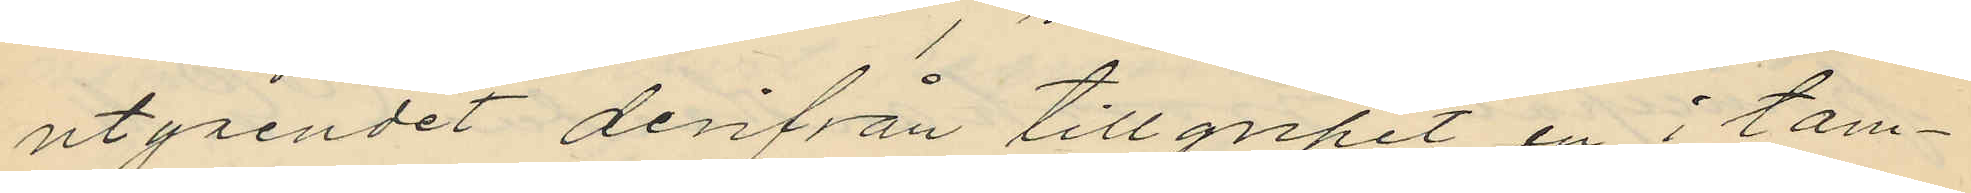utgåendet derifrån tillgripit en i tam¬
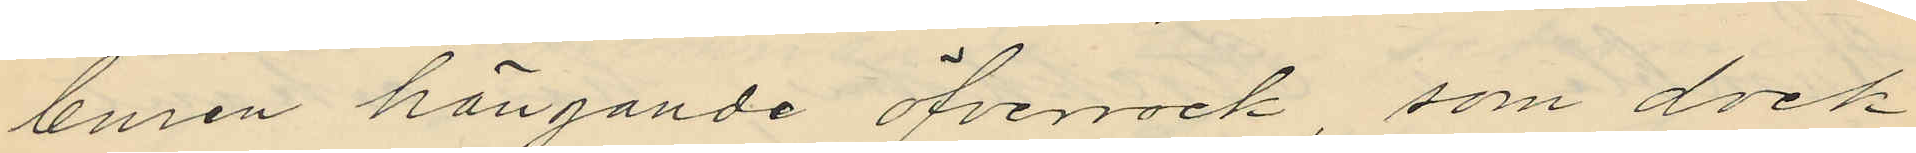buren hängande öfverrock, som dock
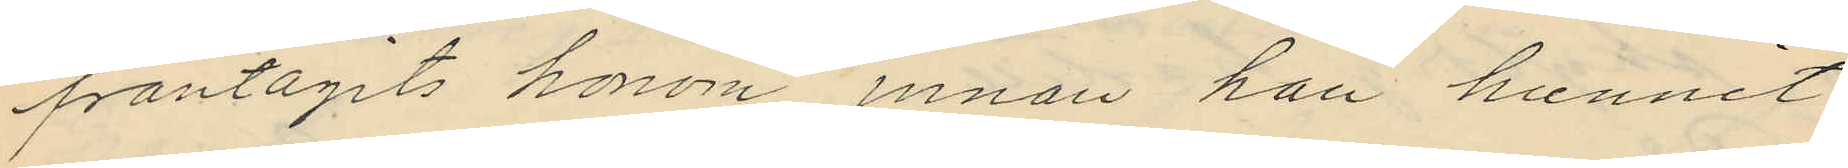fråntagits honom innan han hunnit
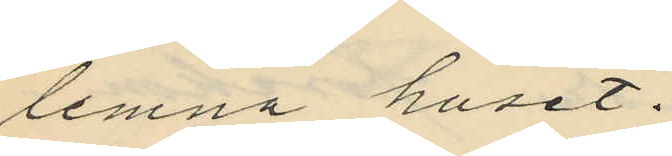lemna huset.
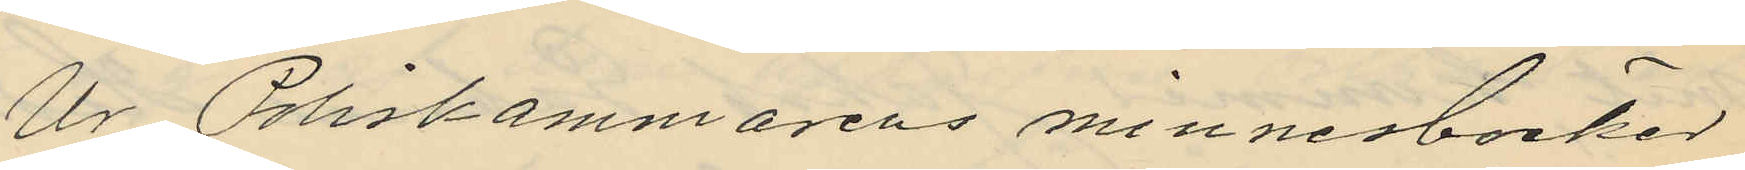Ur Poliskammarens minnesböcker
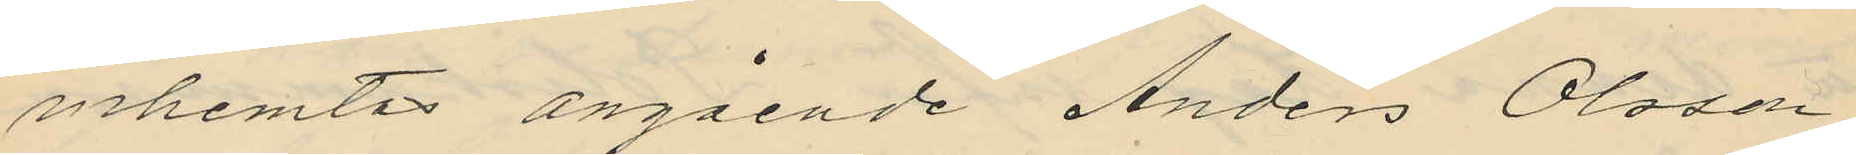inhemtas angående Anders Olsson
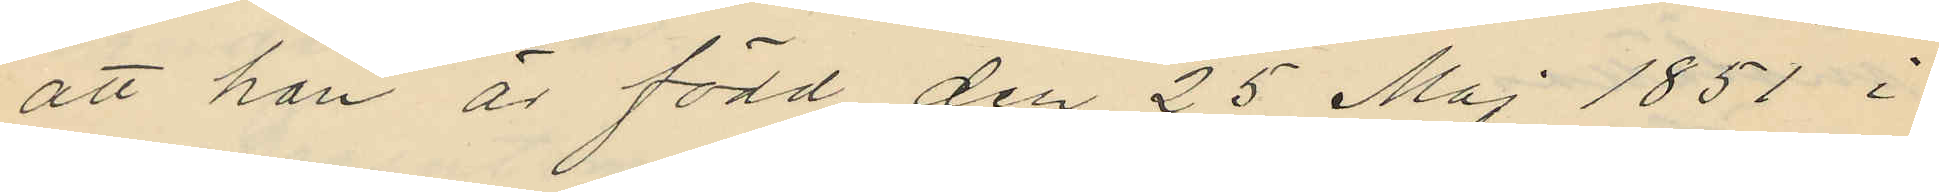att han är född den 25 Maj 1851 i
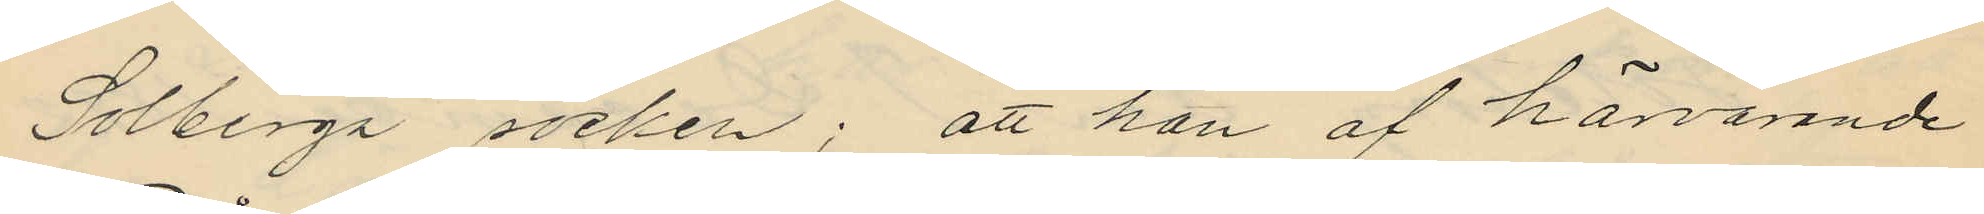Solberga socken; att han af härvarande
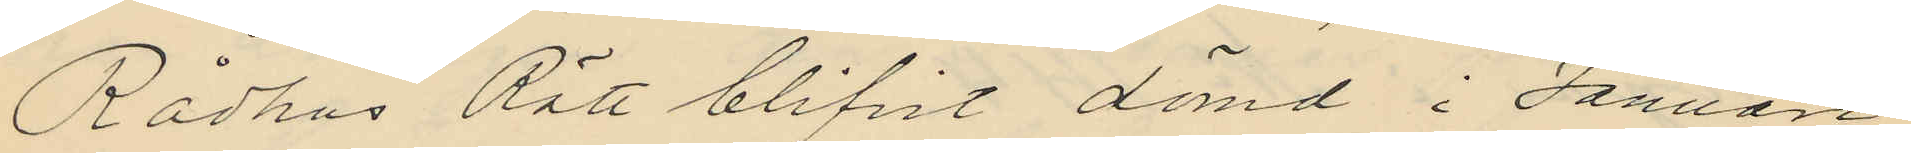Rådhus Rätt blifvit dömd i Januari
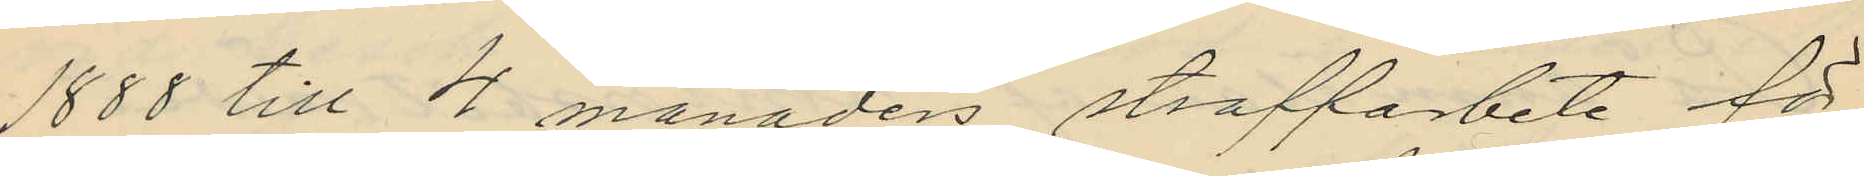1888 till 4 månaders straffarbete för
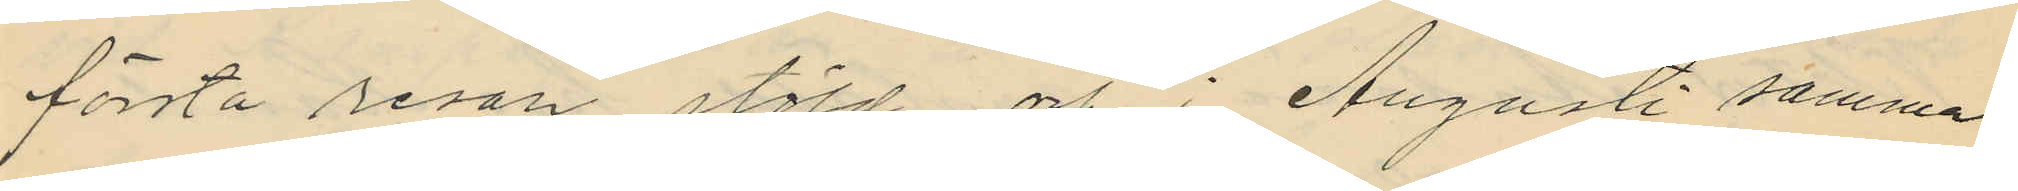första resan stöld och i Augusti samma
